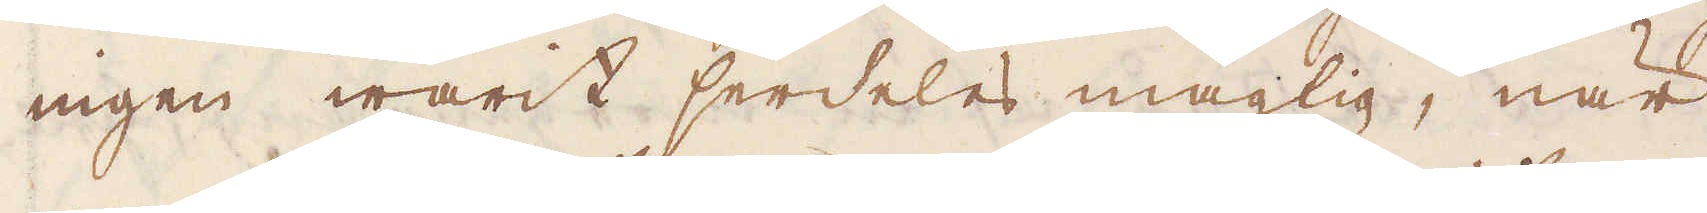ingen warit serdeles mägtig, när
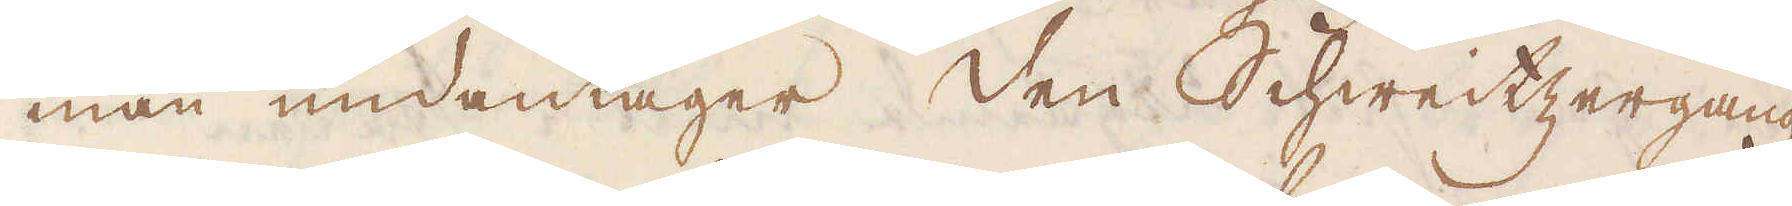man undantager Den Schweitzergang,
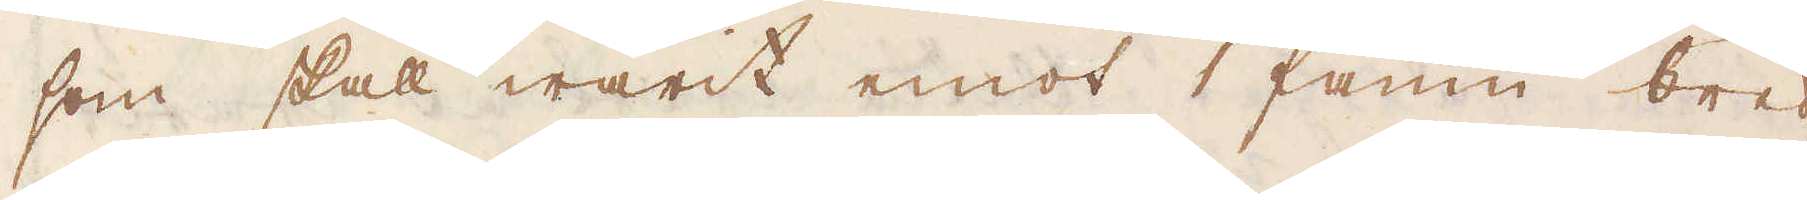som skall warit emot 1 famn bred,
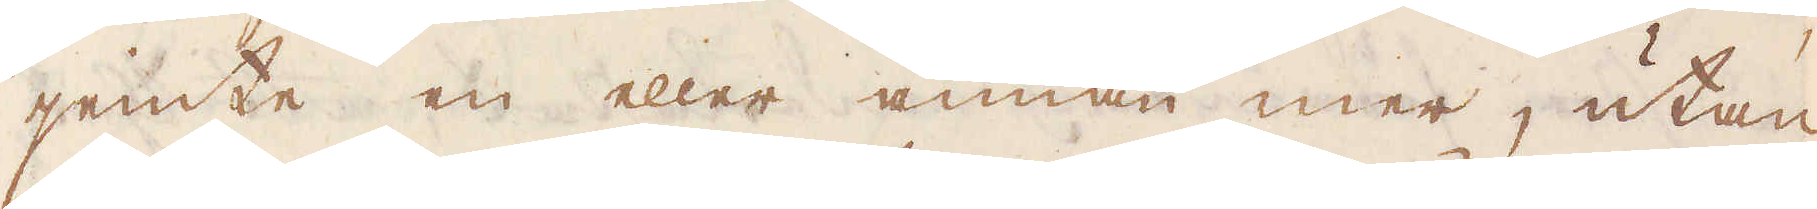jemte en eller annan mer, utan
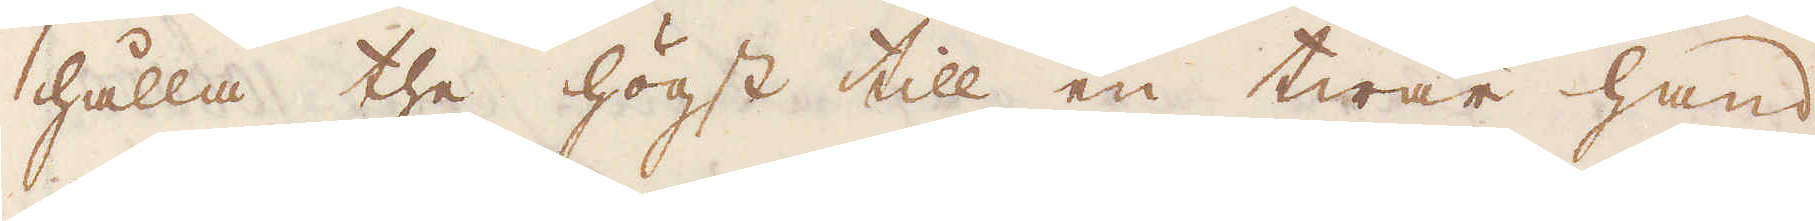hålla the högst till en twär hand
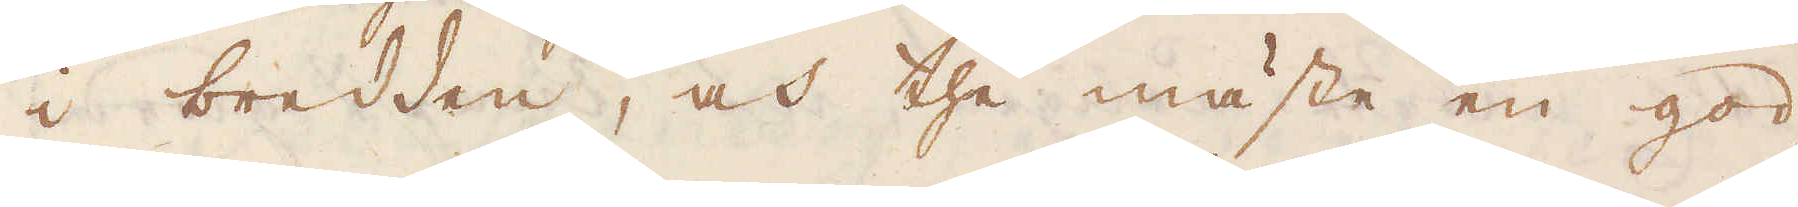i bredden, och the mäste en god
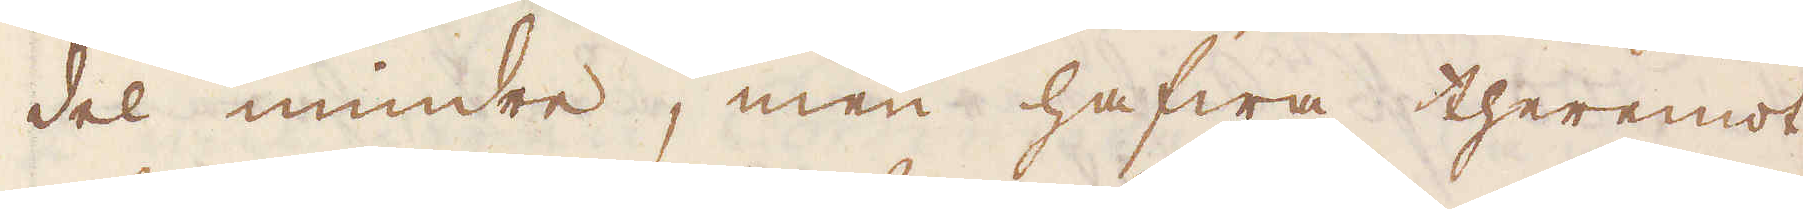del mindre, men hafwa theremot
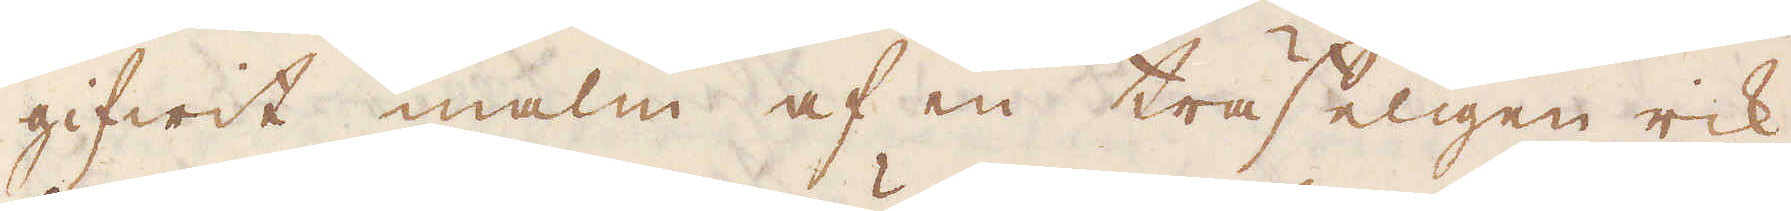gifwit malm af en träffeligen rik
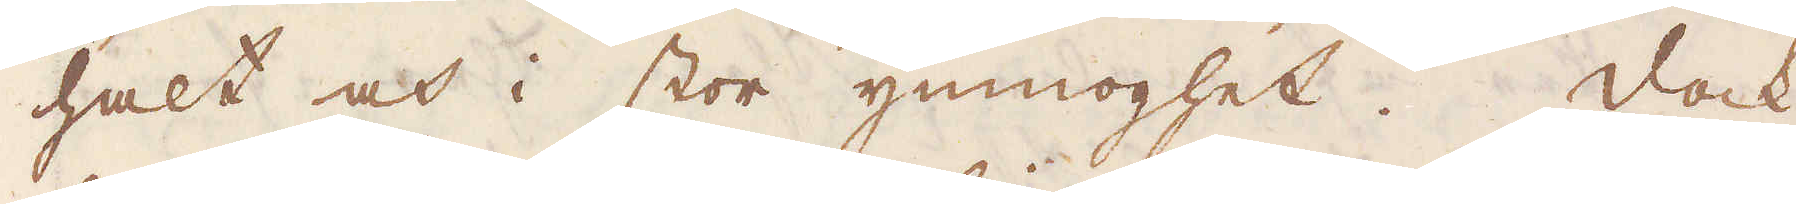halt och i stor ymnoghet. Dock
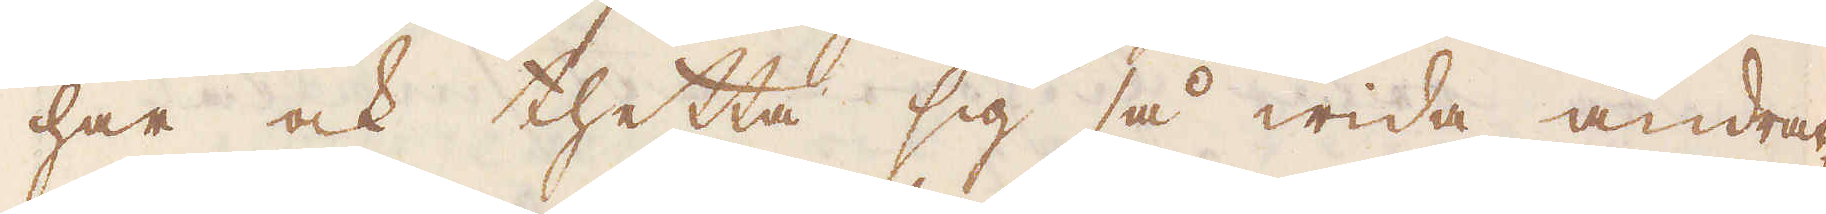har ock thetta sig så wida ändrat,
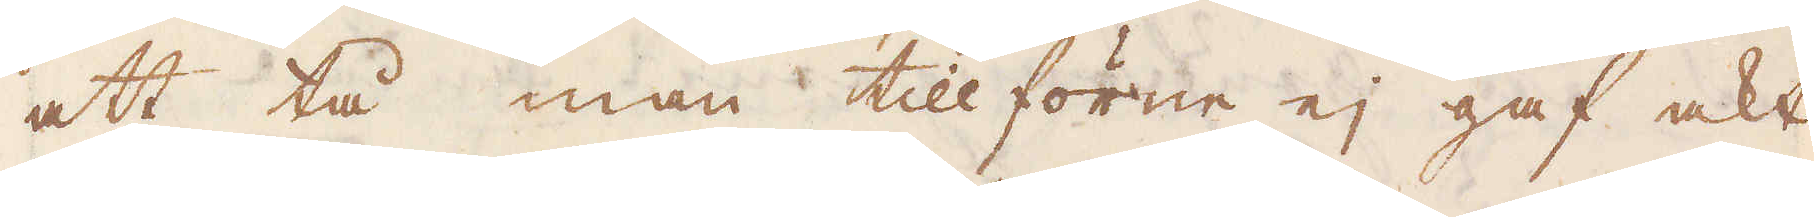att tå man tillförene ej gaf akt
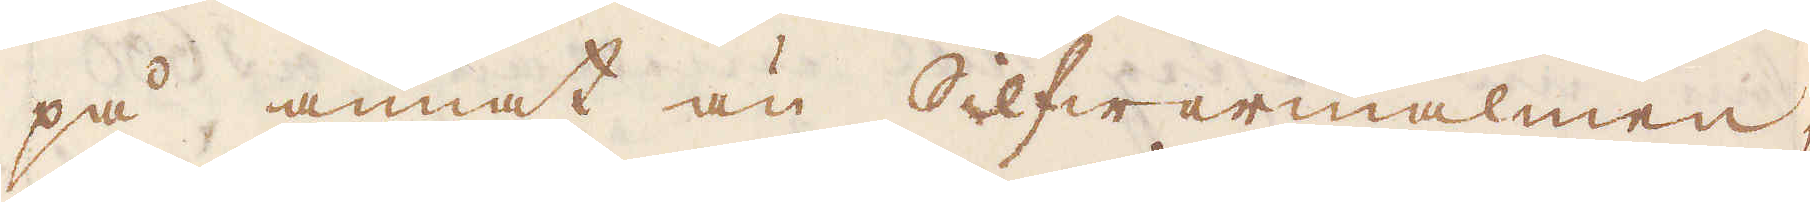på annat än Selfwarmalmen,
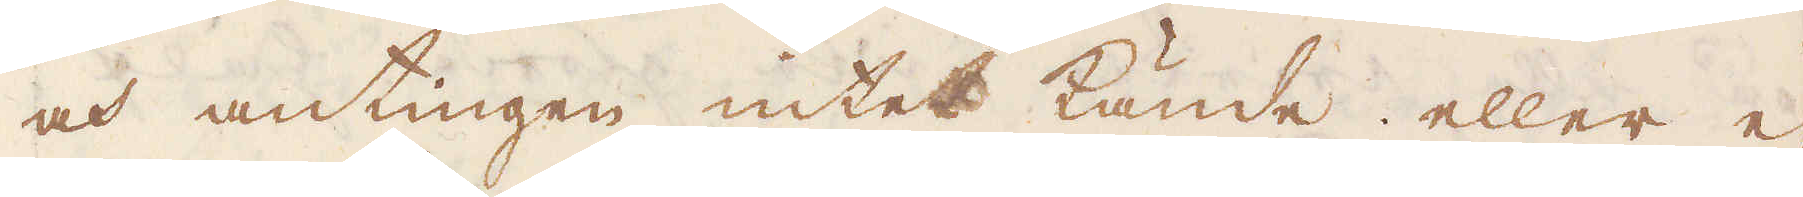och antingen intet kände eller ej
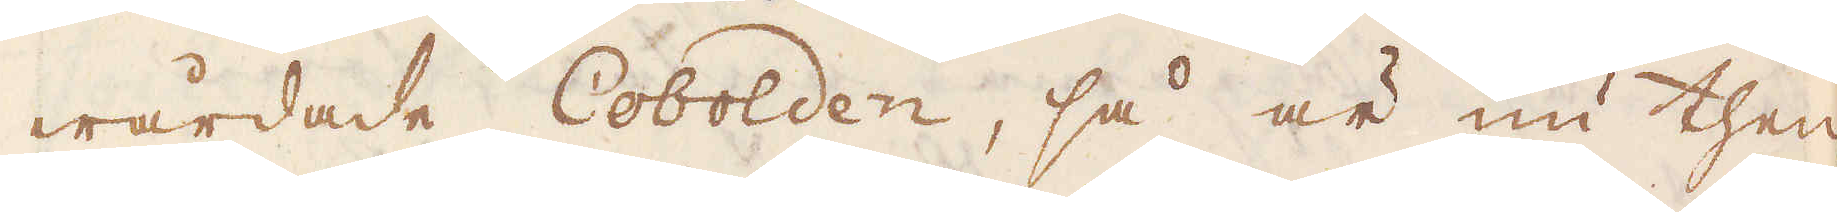wårdade Cobolden, så är nu then-
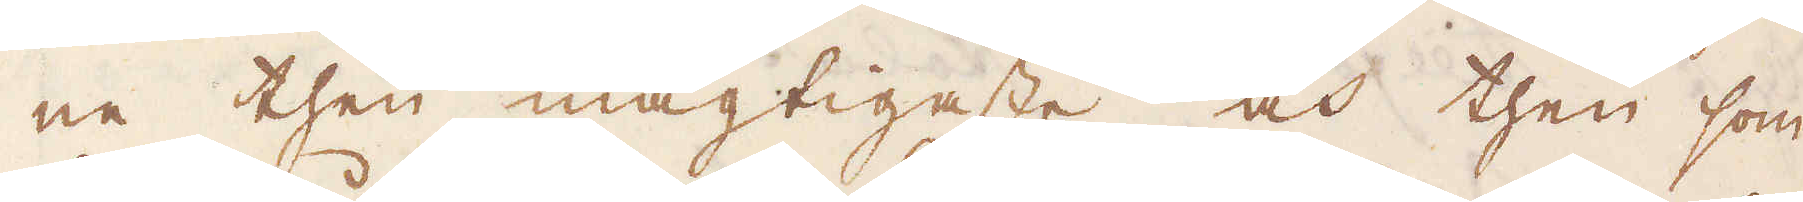ne then mägtigaste och then som
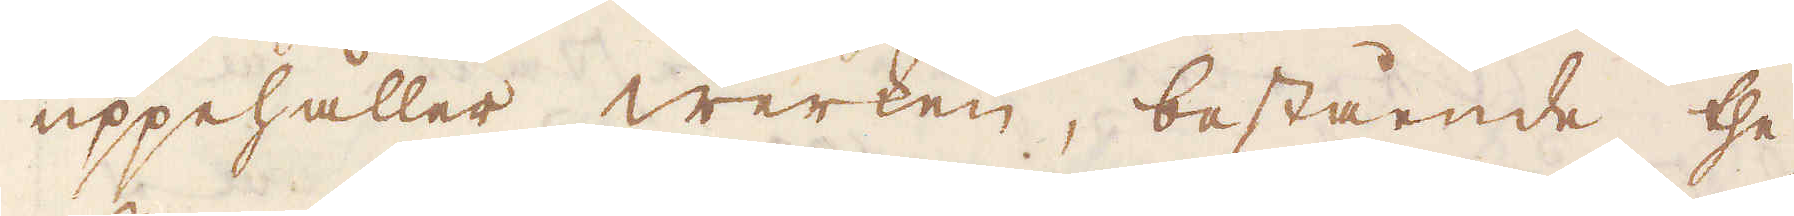uppehåller werken, bestående the
